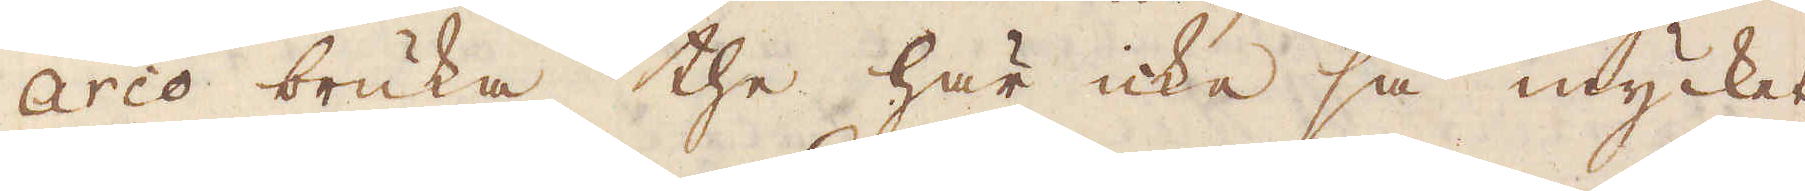arco bruka the här icke så mycket,
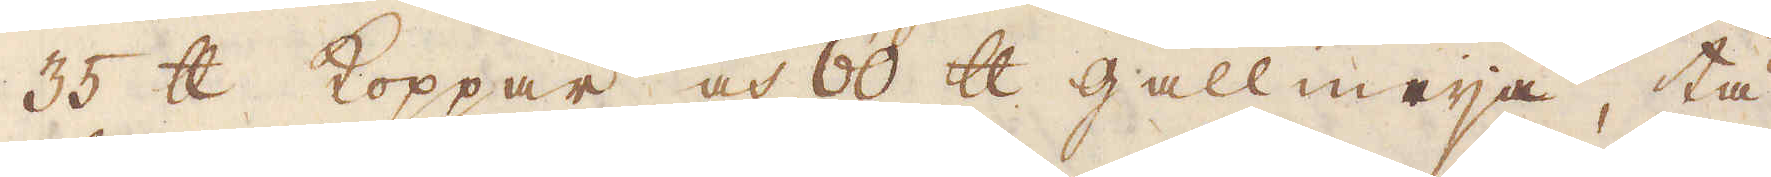35 skålpund Koppar och 60 skålpund gallmeija, tå
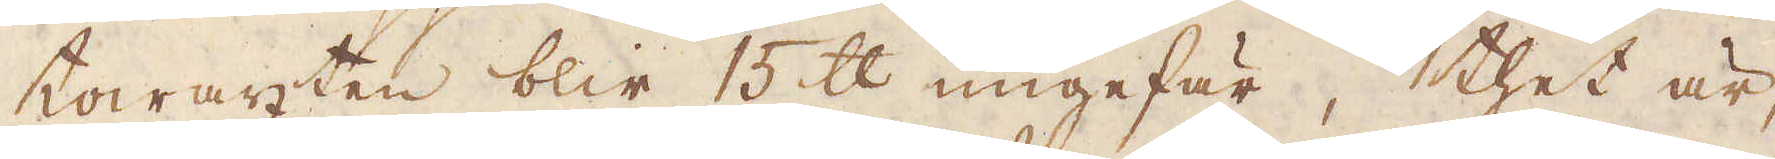towäxten blir 15 skålpund ungefär, thet är,
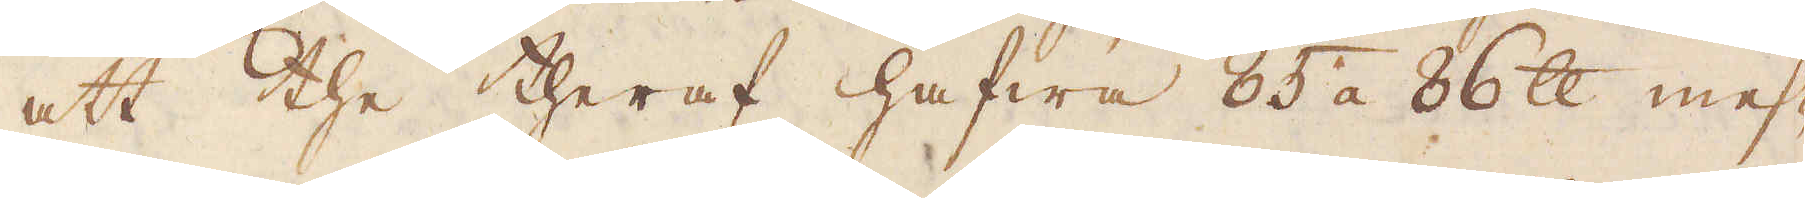att the theraf hafwa 85 a 86 skålpund mes-
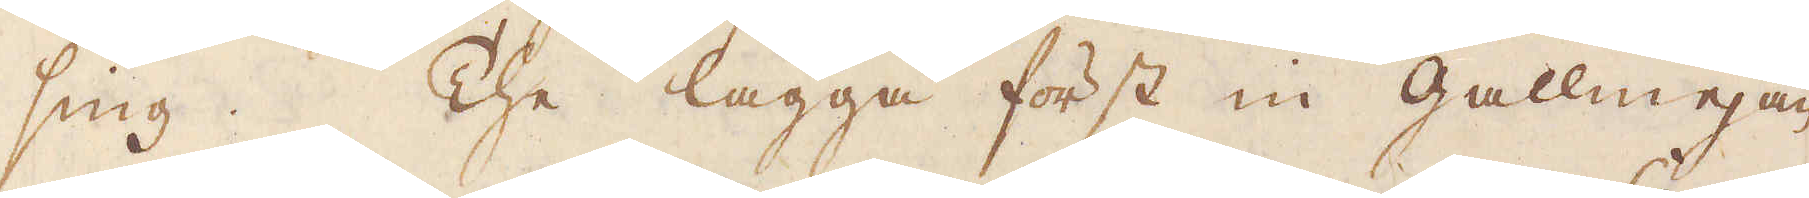sing. The lägga först in gallmejan
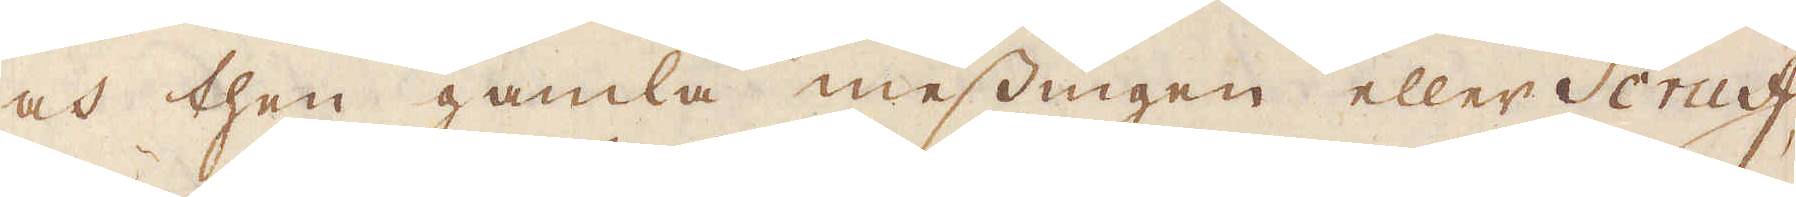och then gamla messingen eller Scruff,
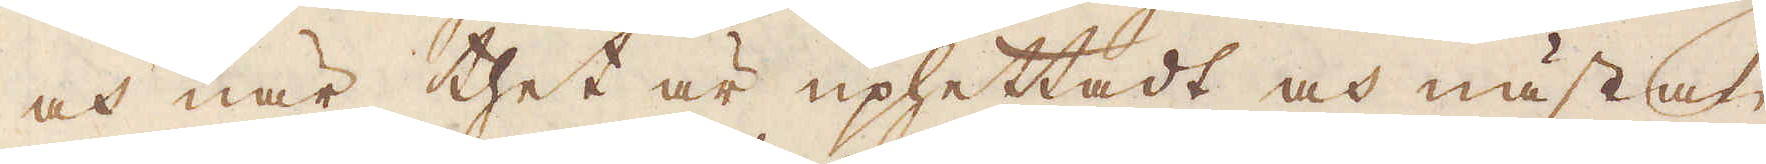och när thet är uphettadt och nästan
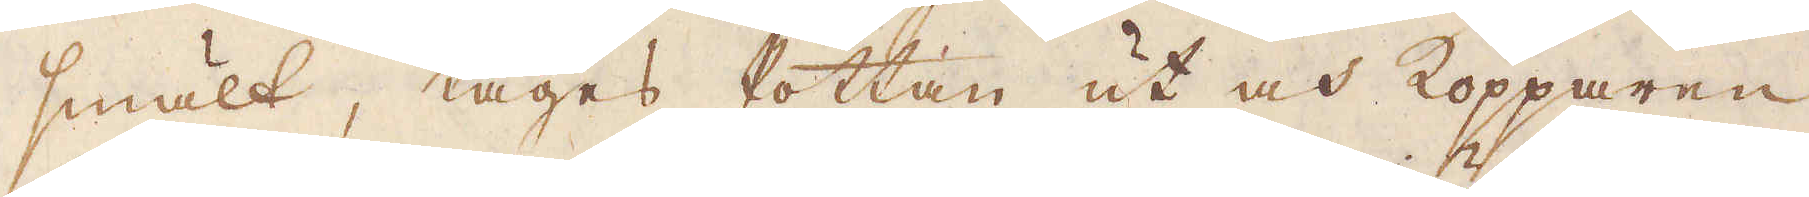smält, tages Pottan ut och Kopparen
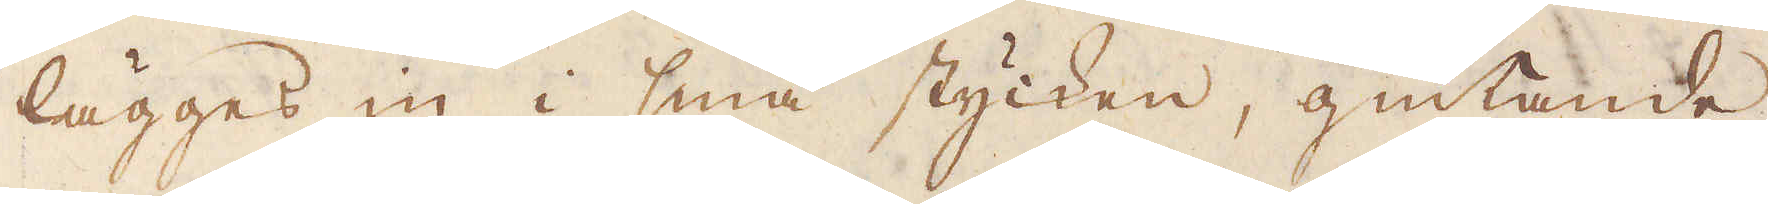lägges in i små stycken, giutande
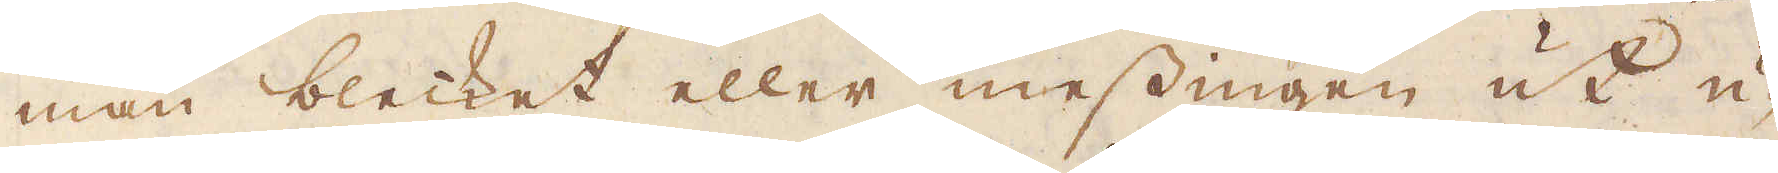man blecket eller messingen ut u-
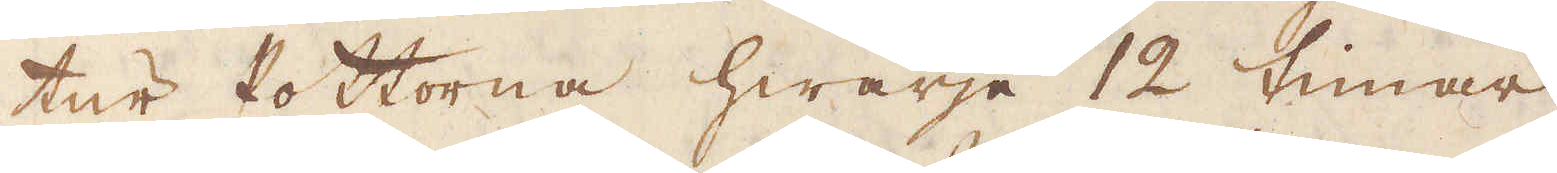tur Pottorna hwarje 12 timar.
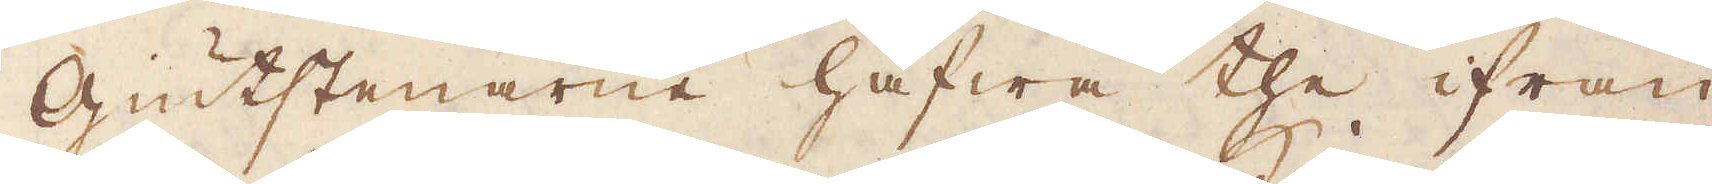Giutstenarne hafwa the ifrån
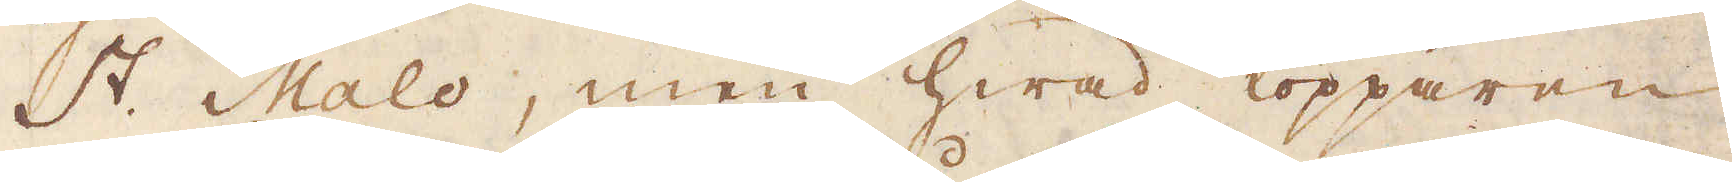St. Malo, men hwad Kopparen
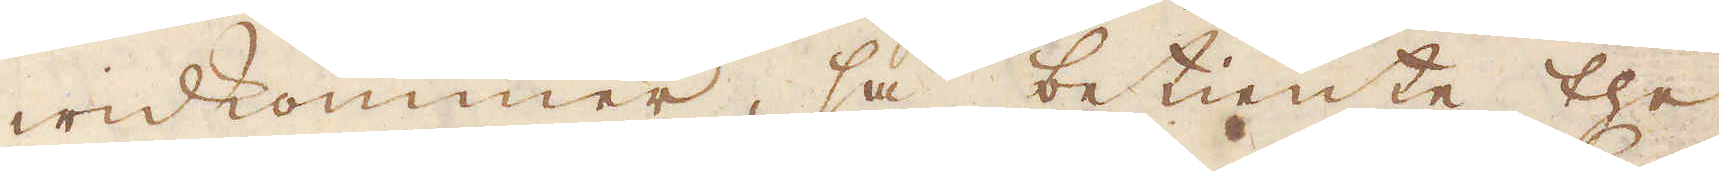widkommer, så betiente the
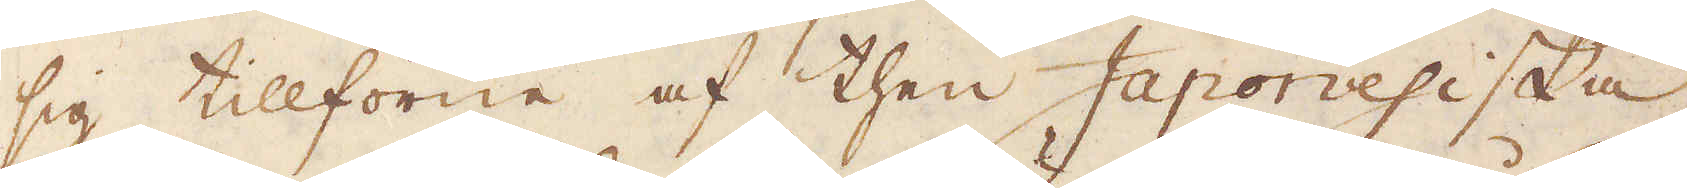sig tillförene af then Japonesiska
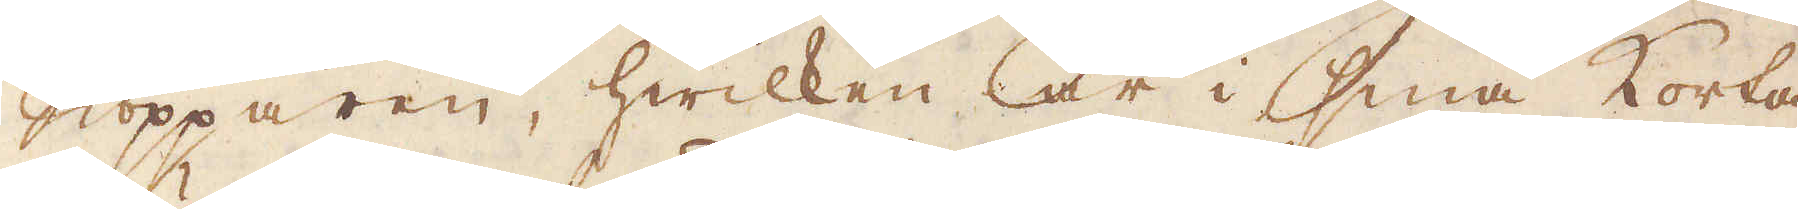Kopparen, hwilken är i små Korta
